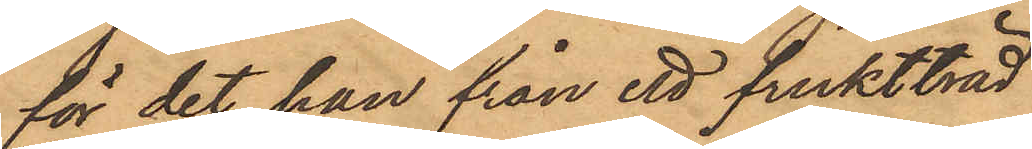för det han från ett fruktträd
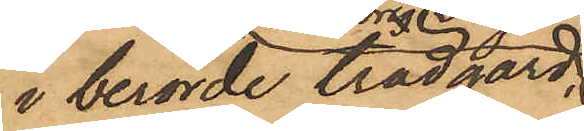i berörde trädgård,
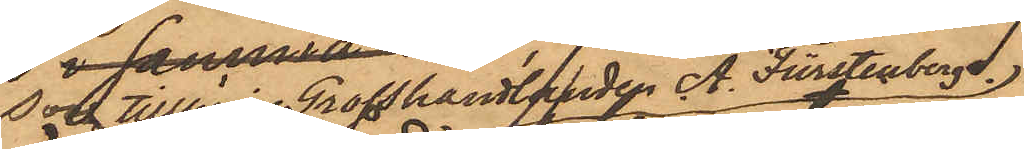som tillhör Grosshandlanden  A. Fürstenberg.
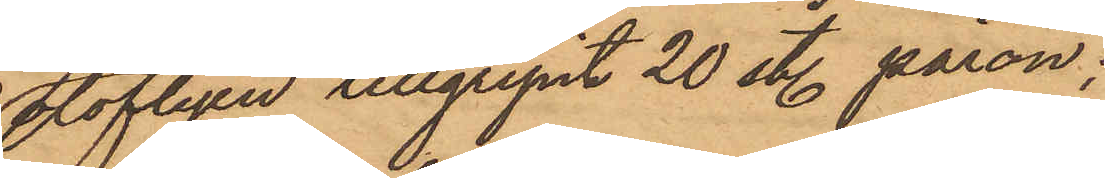olofligen tillgripit 20 sty. päron;
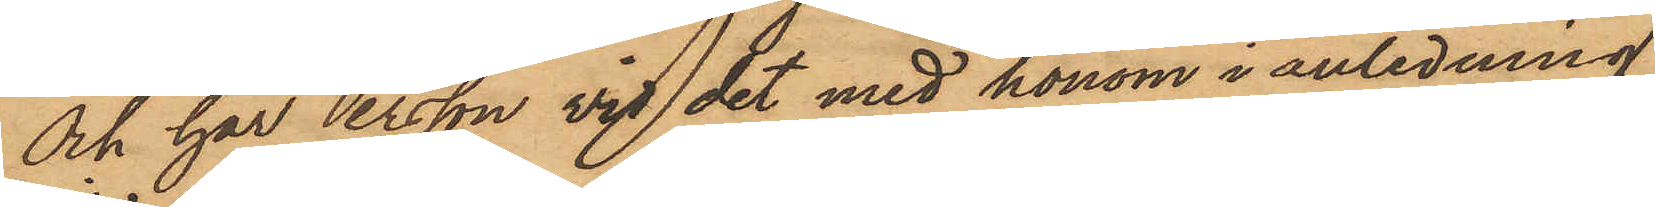och har Persson vid det med honom i anledning
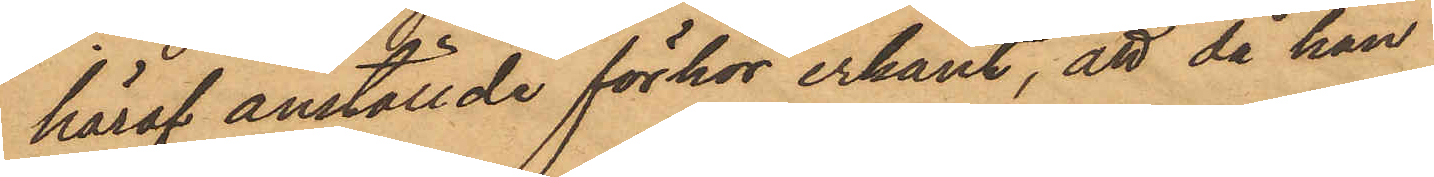häraf anställde förhör erkänt, att då han
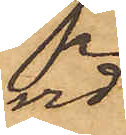vid
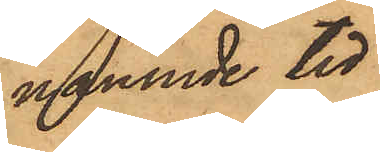nämnde tid
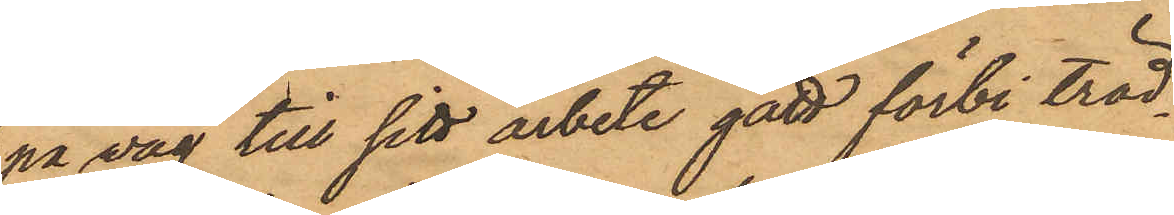på väg till sitt arbete gått förbi träd¬
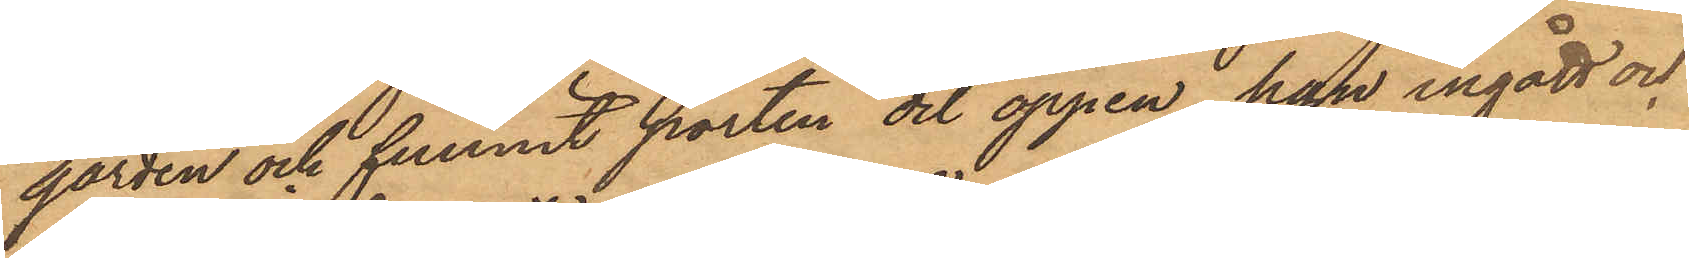gården och funnit porten dit öppen, han ingått och
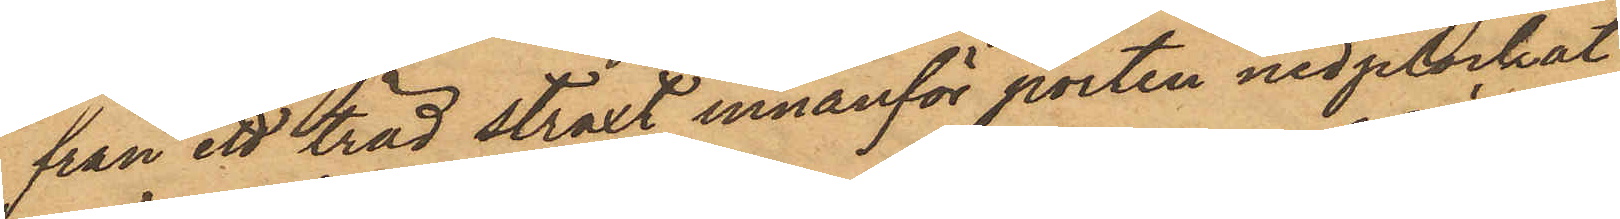från ett träd straxt innanför porten nedplockat
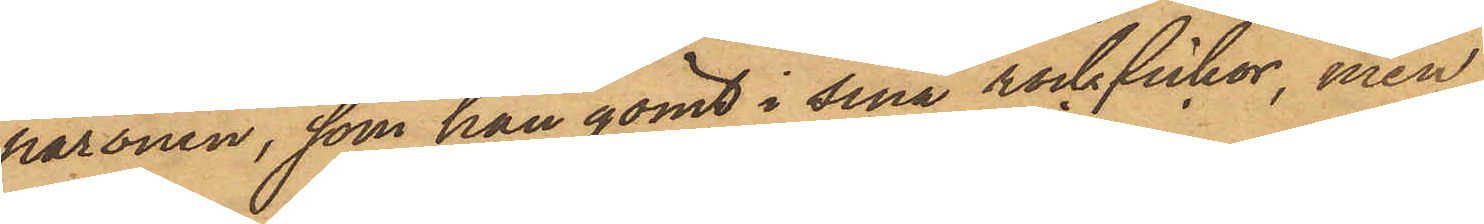päronen, som han gömt i sina rockfickor, men
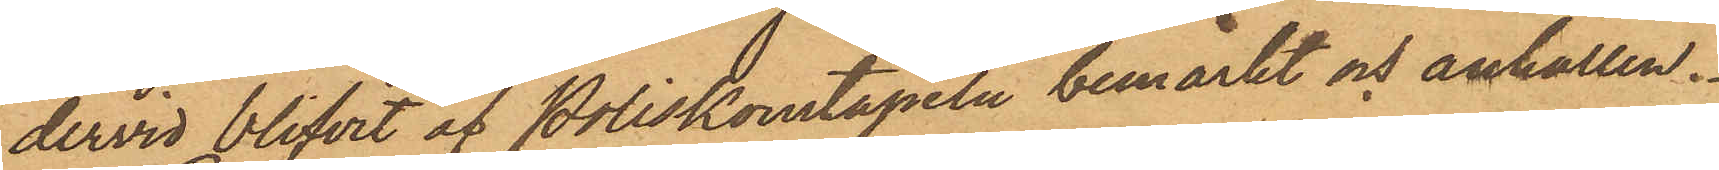dervid blifvit af Poliskonstapeln bemärkt och anhållen.
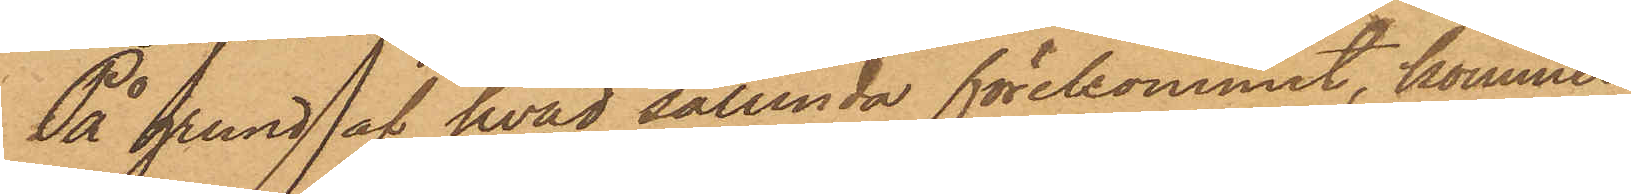På grund af hvad sålunda förekommit, kommer
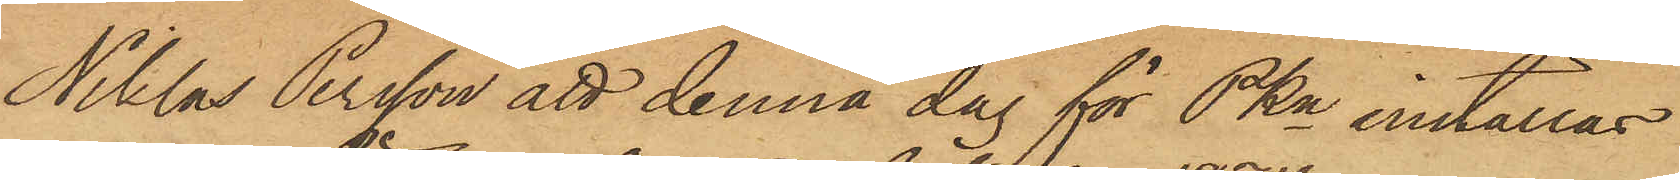Niklas Persson att denna dag för PKn inställas.
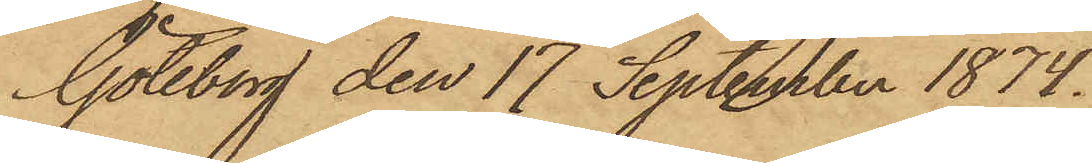Göteborg den 17 September 1874.
